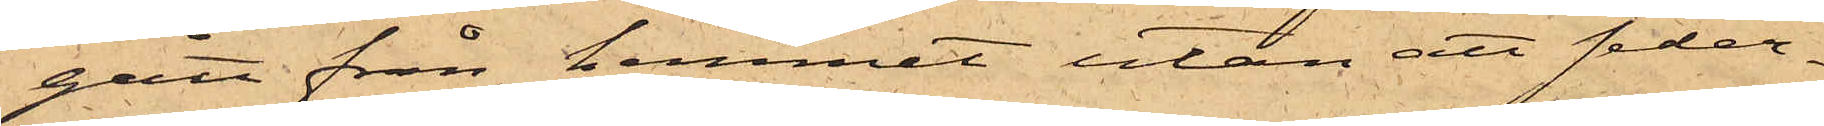gått från hemmet utan att seder¬
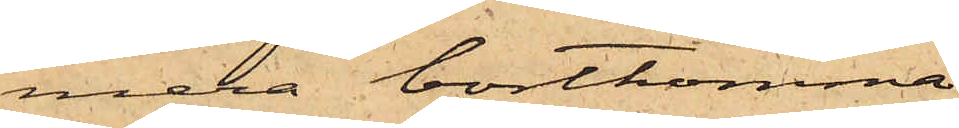mera bortkomma.
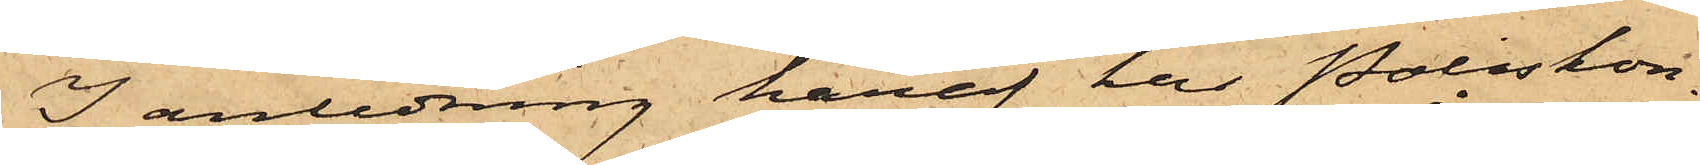I anledning häraf har Poliskon¬
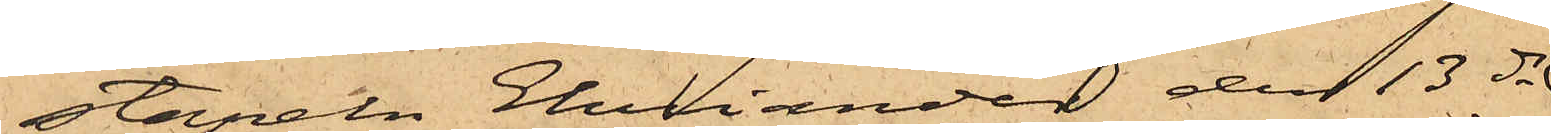stapeln Eliander den 13 ds
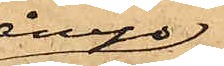ånyo
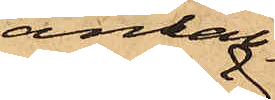anhål¬
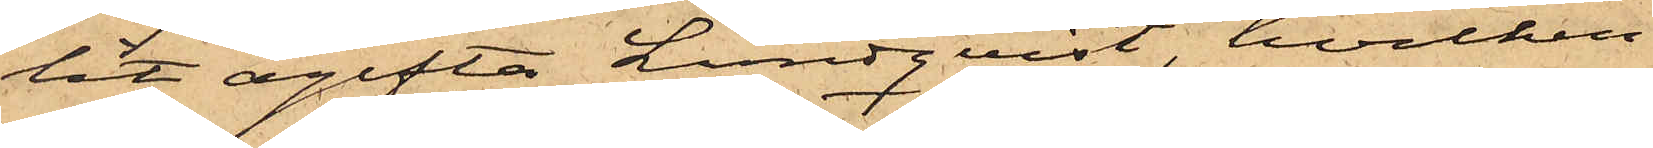lit ogifta Lundqvist, hvilken
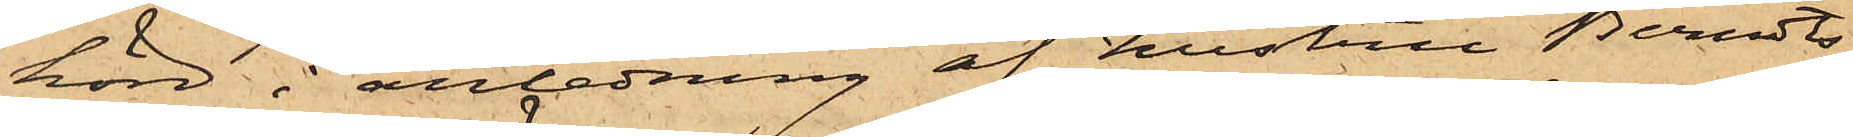hörd i anledning af hustru Berndts¬
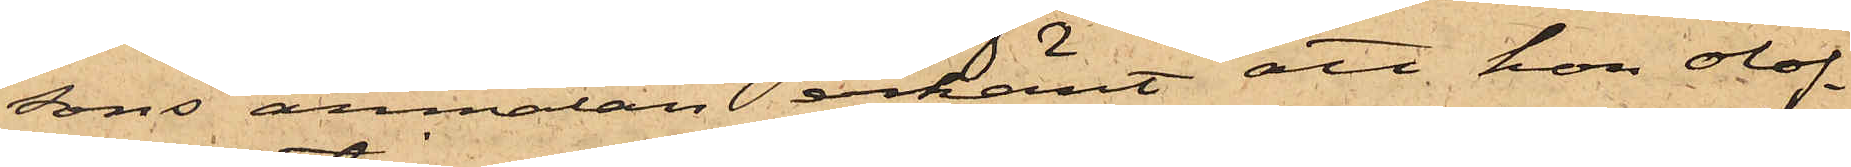sons anmälan erkänt att hon olof¬
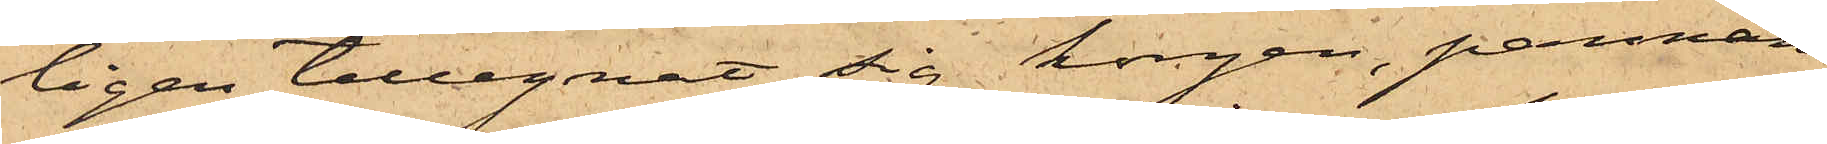ligen tillegnat sig korgen, pannan
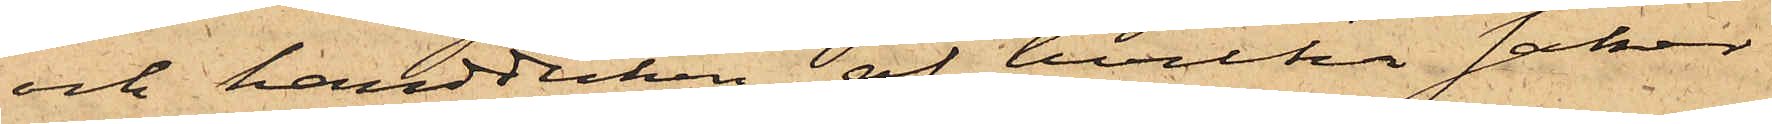och handduken, af hvilka saker
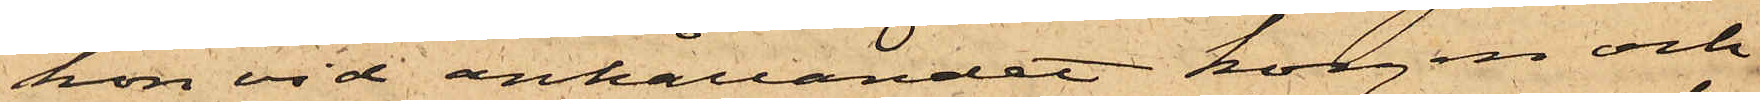hon vid anhållandet    korgen och
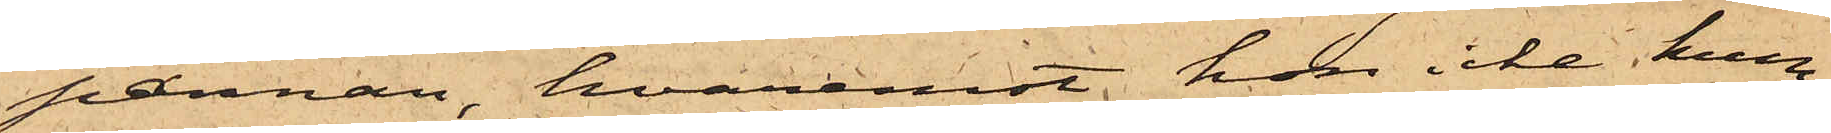pannan, hvaremot hon icke kun¬
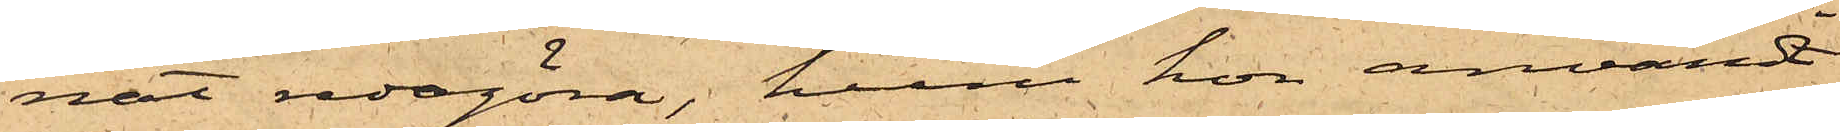nat redogöra, huru hon användt
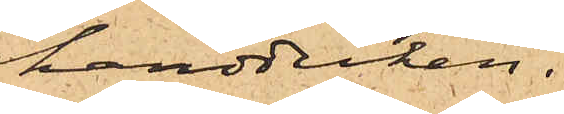handduken.
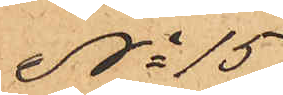No 15
